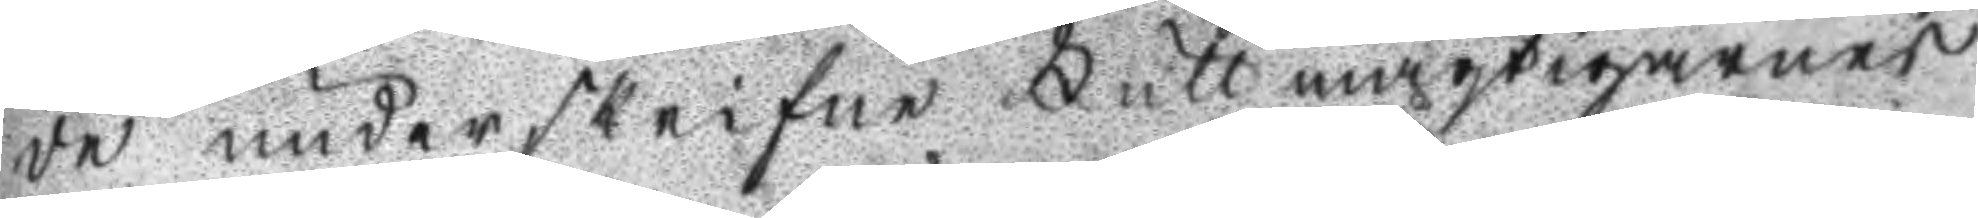de underskrine Fullmägtigarnes
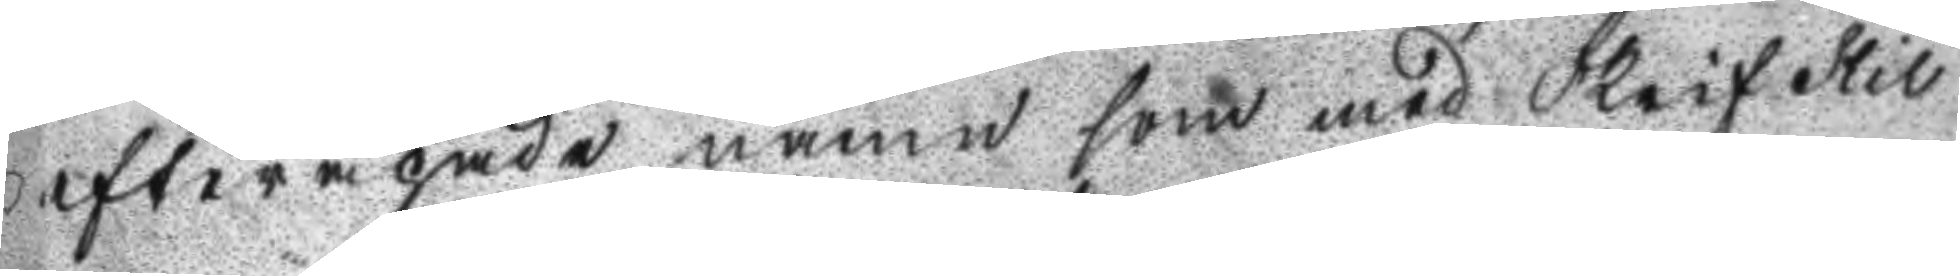efterapade namn som med Skrifstil
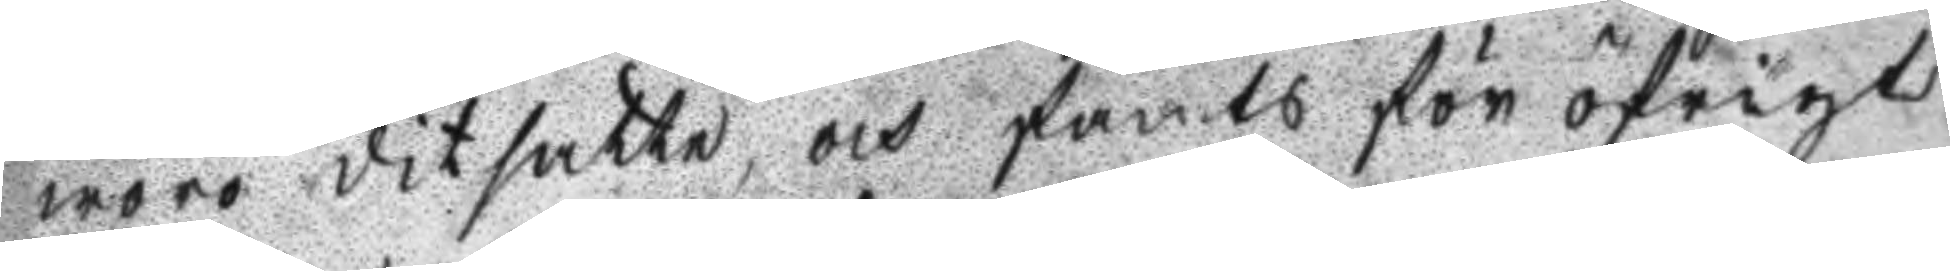woro ditsatte. och fants för öfrigt
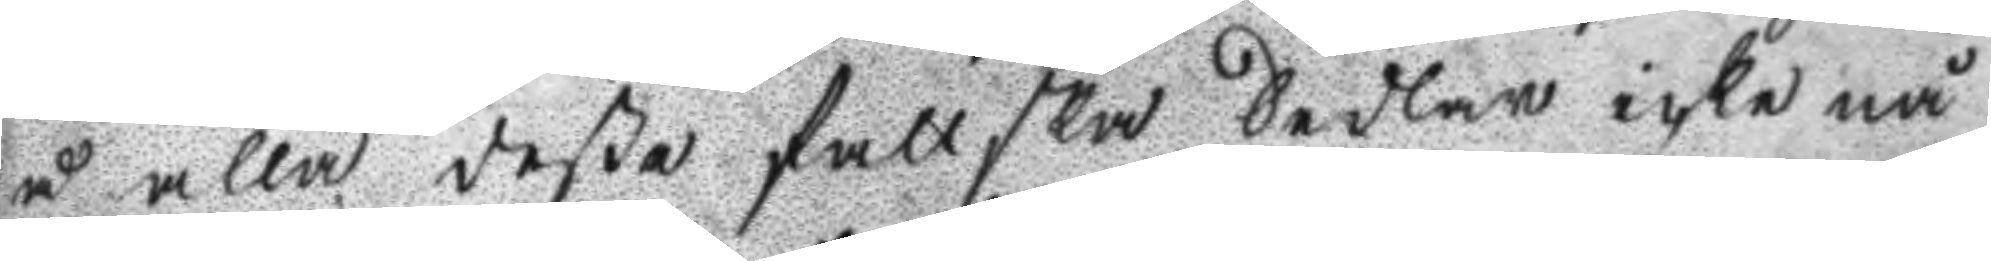å alla deßa fattska Sedlar icke nå
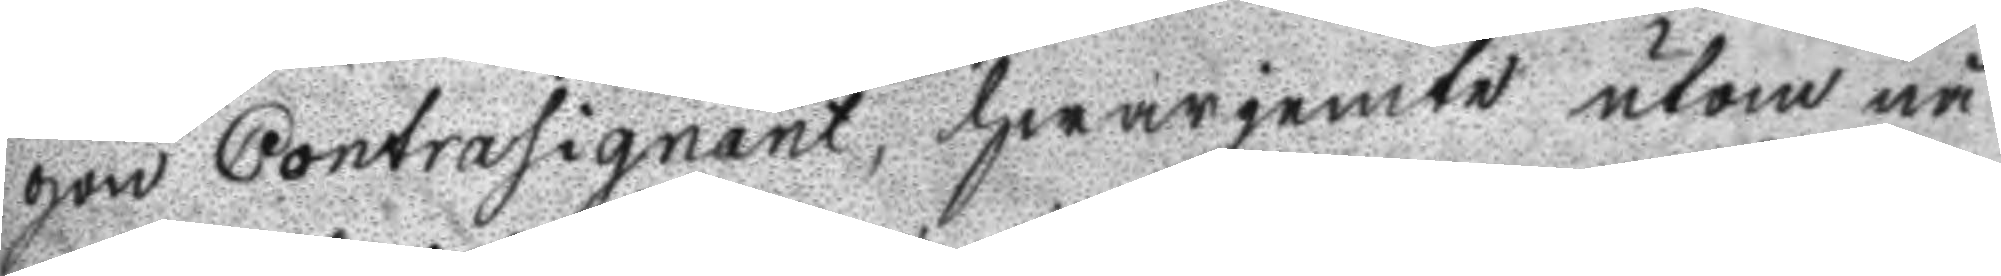gon Contrasignant, hwarjemte utom nå
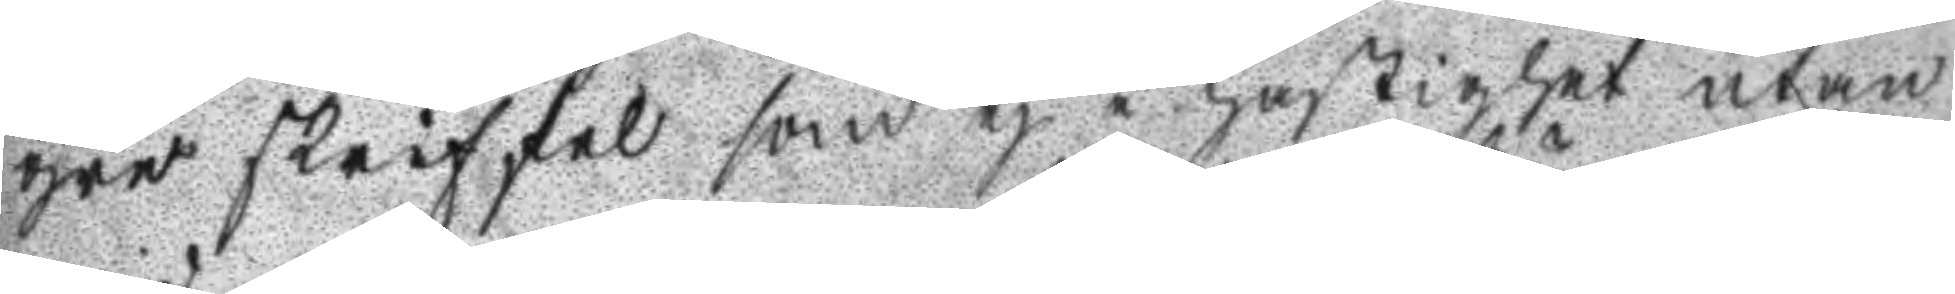gre skriffel som ej i hastighet utan
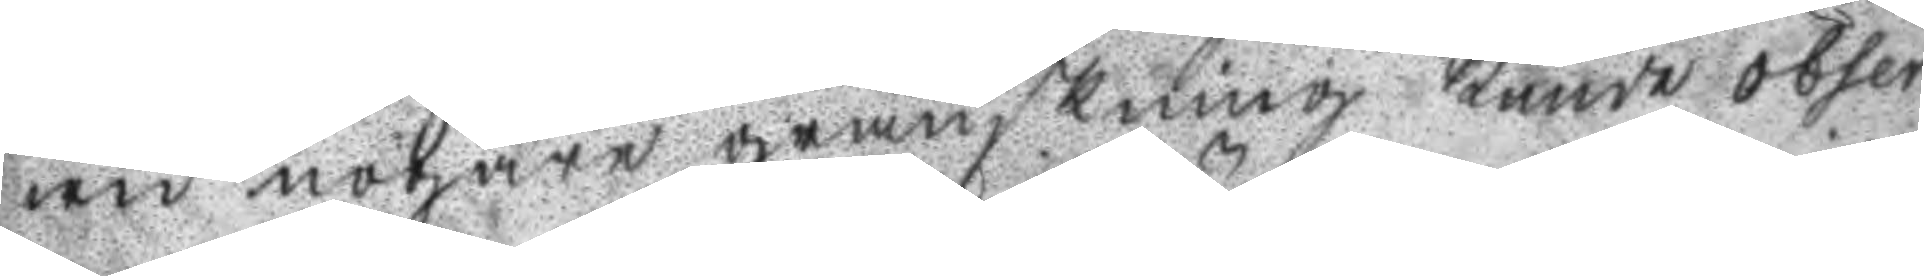wid nogare granskning kunde obser¬
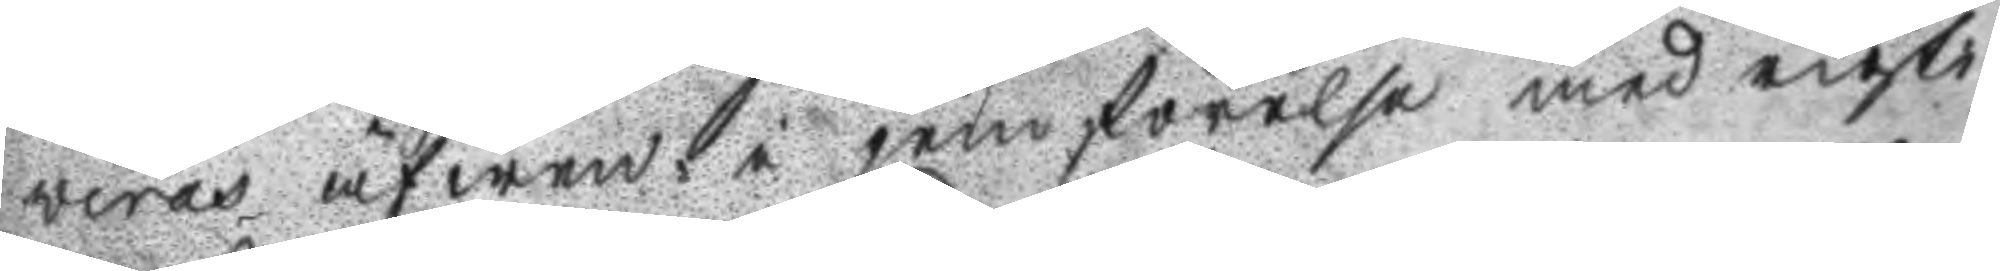weras äfwen i jemförelse med rigti
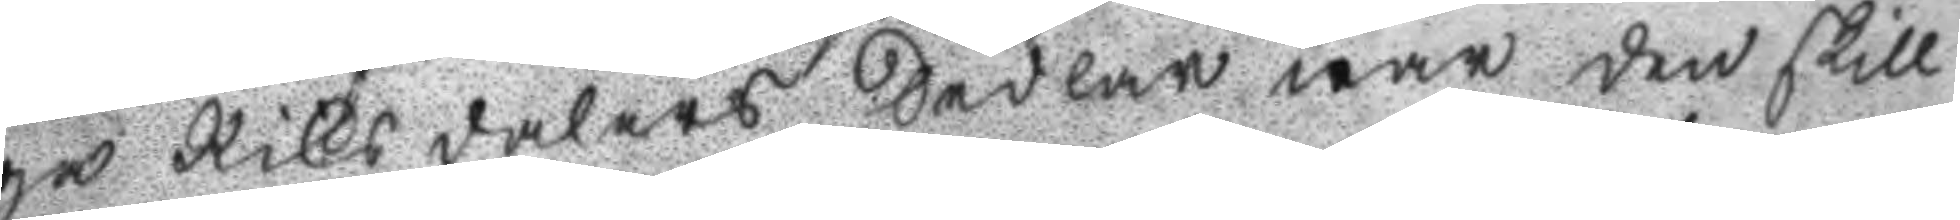ga Riksdalers Sedlan war den skill
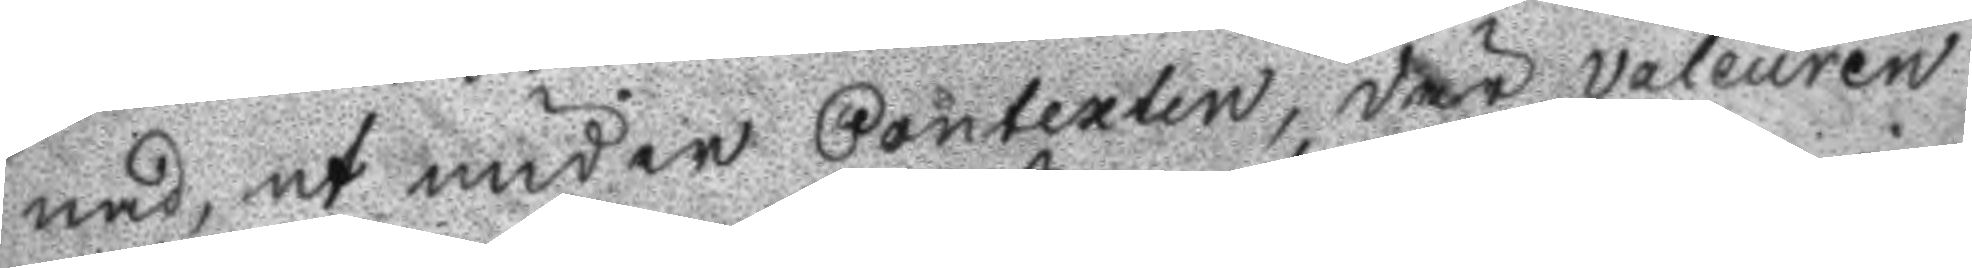nad, at under Contexten, där valeuren
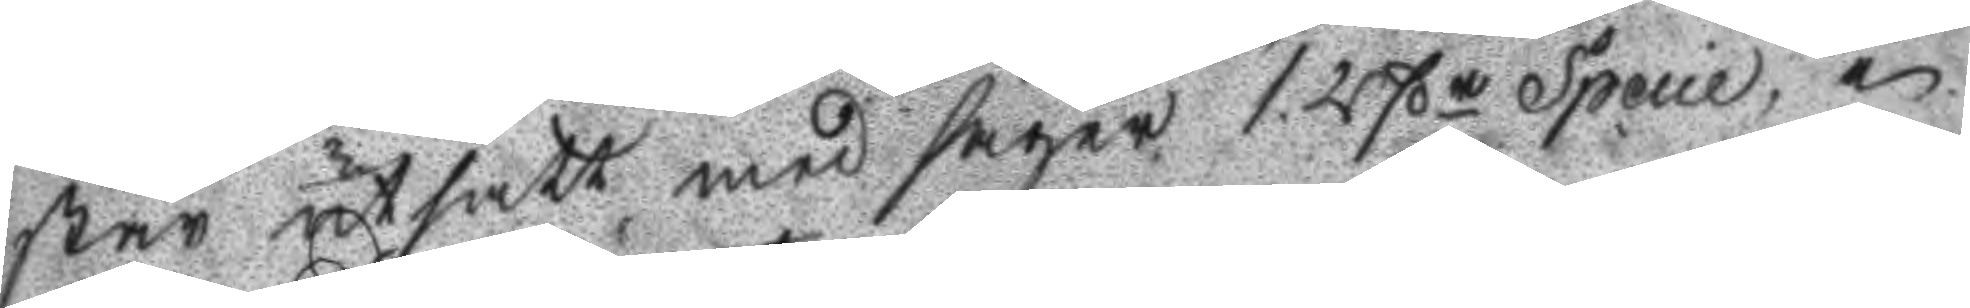står utsatt med fäger 1. Rßr Specie, i
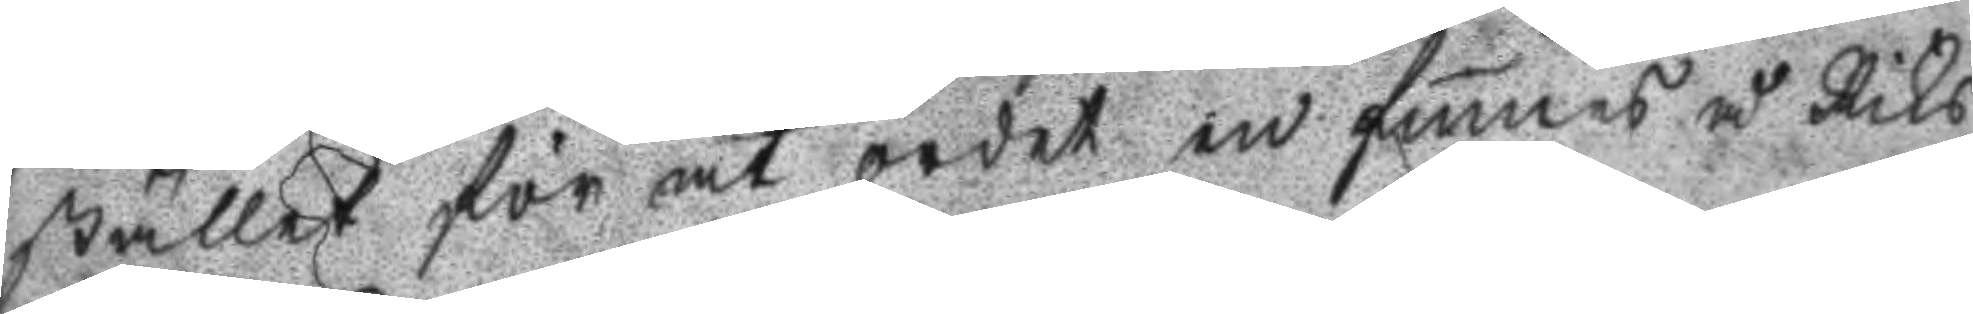stället för at ordet in finnes å Riks
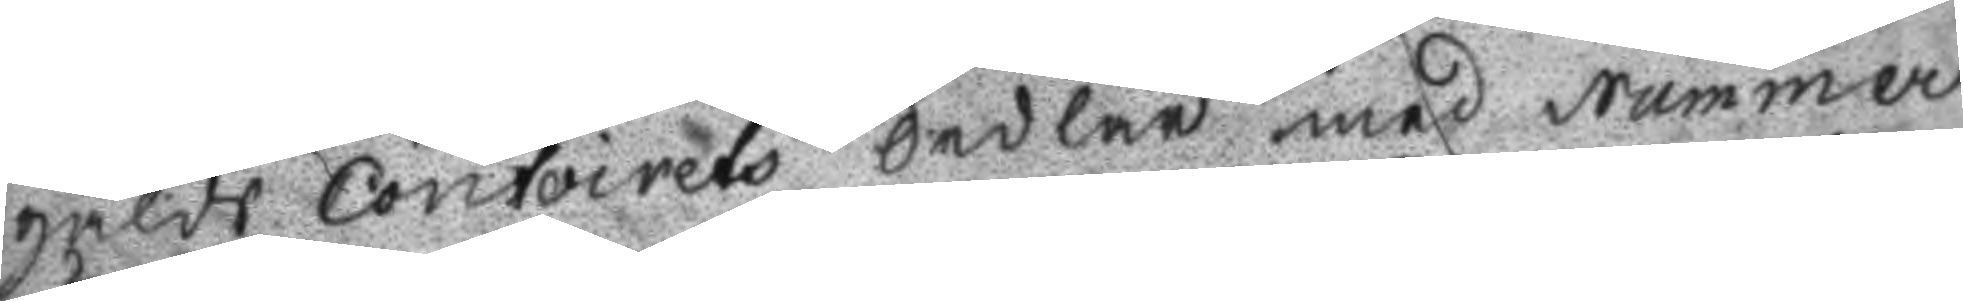gälds contoirets Sedlar med Nummer
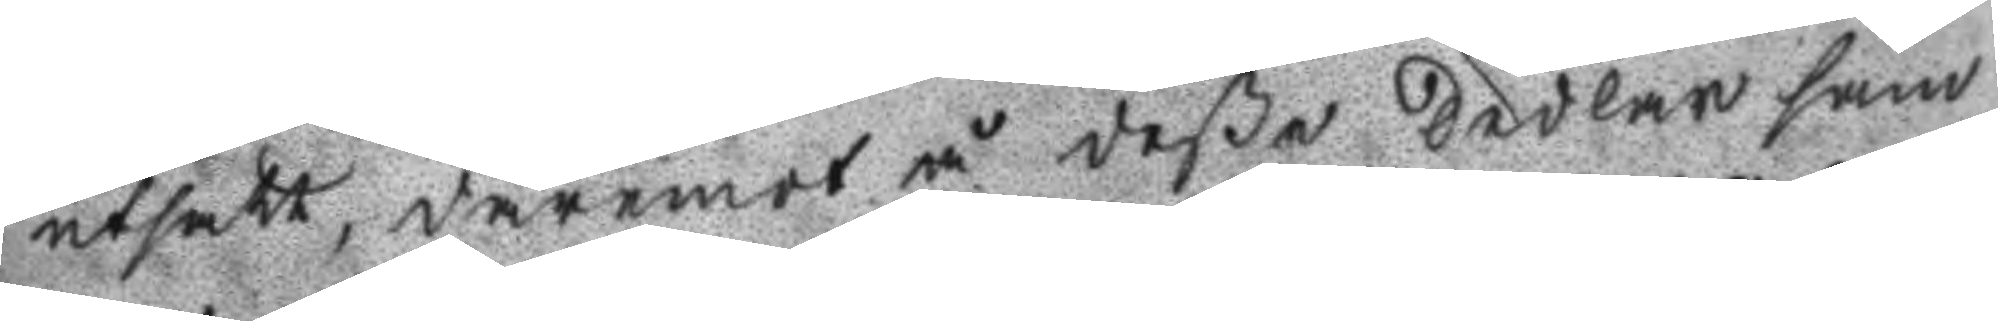utsatt, däremot å deße Sedlar sam
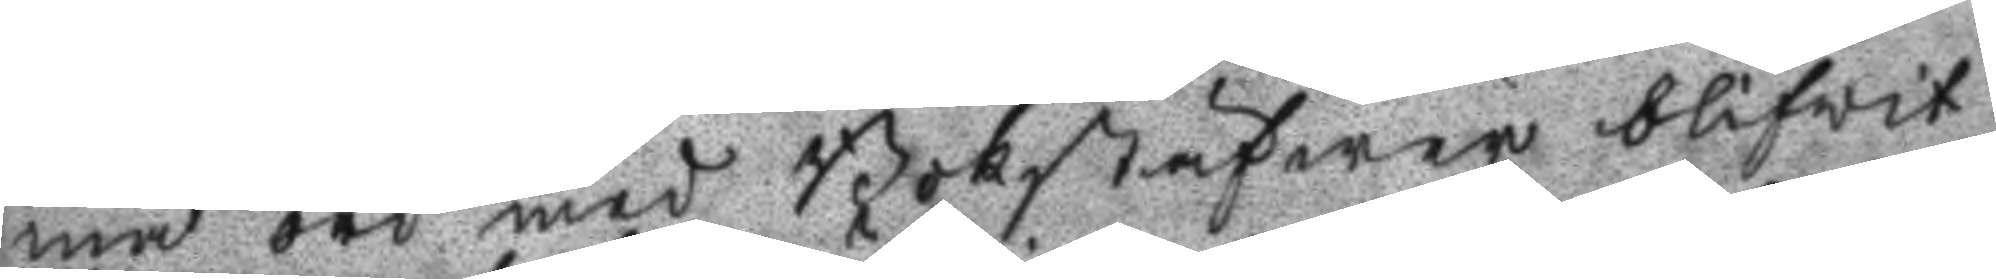ma ord med Bokstäfwer blifwit
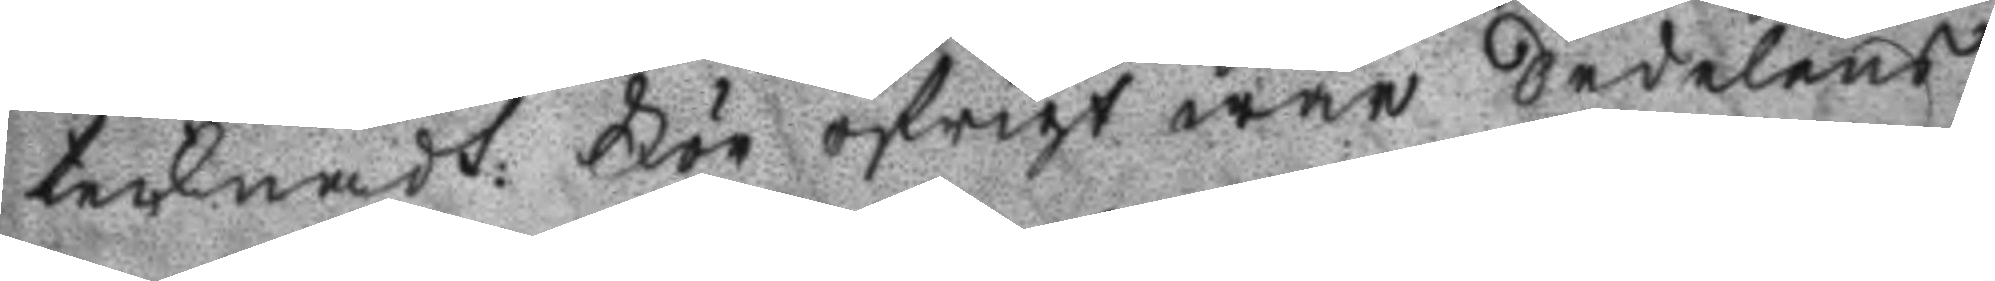teknads: För öfrigt war Sedelens
